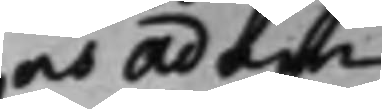och Adam
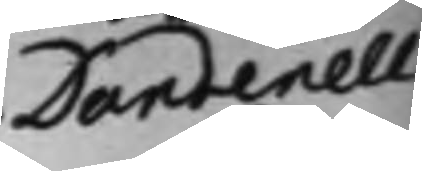Dandenell
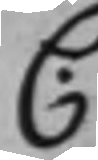C.
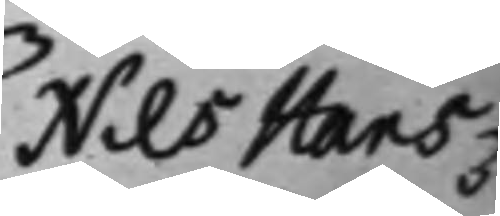Nils Hans¬
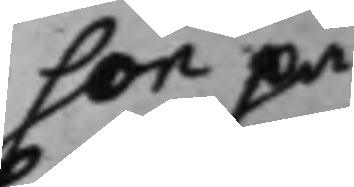son på
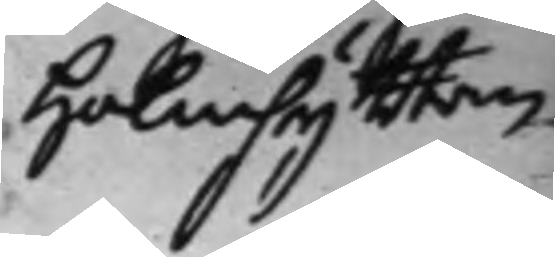Holmhyttan.
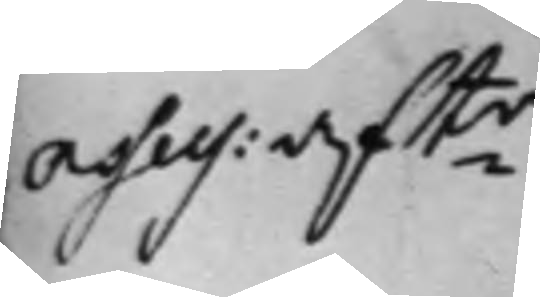Asses: aftr
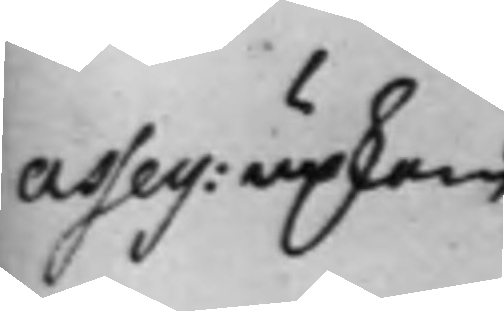Asses: upkom
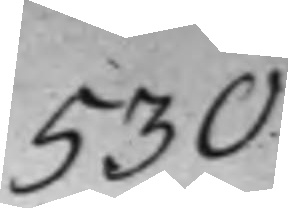530.
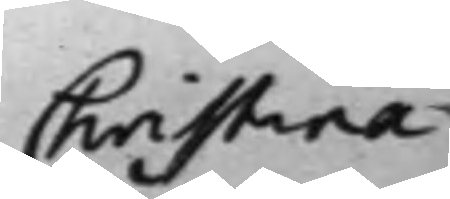Christina
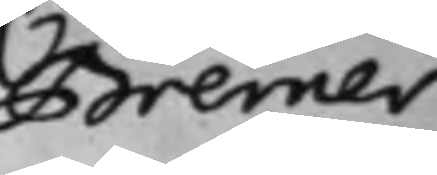Bremer
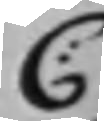C:
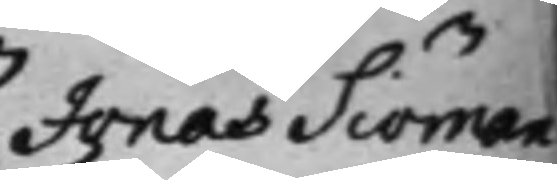Jonas Siöman
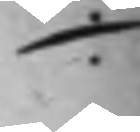./.
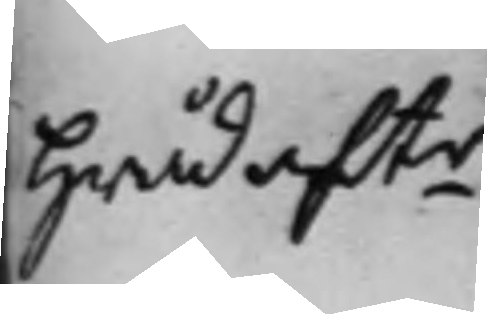Hråd aftr
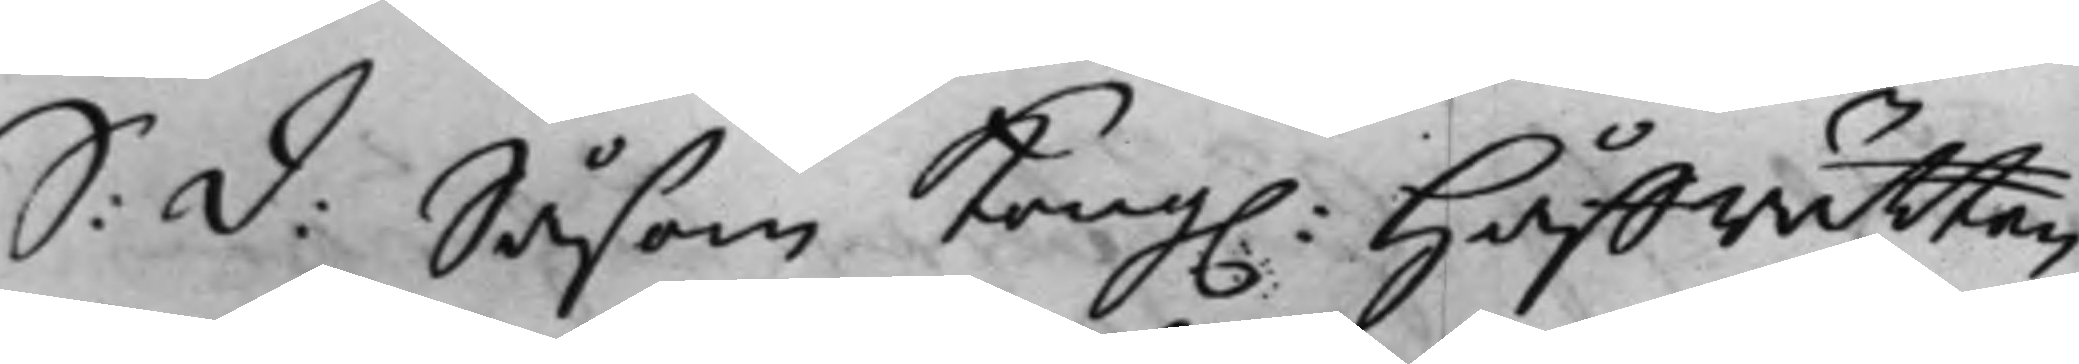S: d: Såsom Kong. Håffrätten
